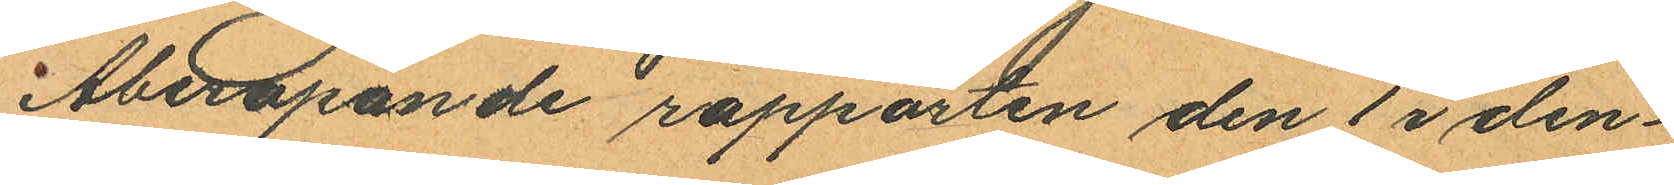Åberopande rapporten den 1 i den¬
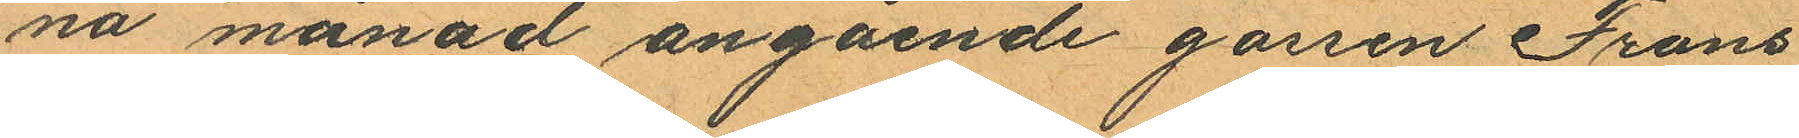na månad angående gossen Frans
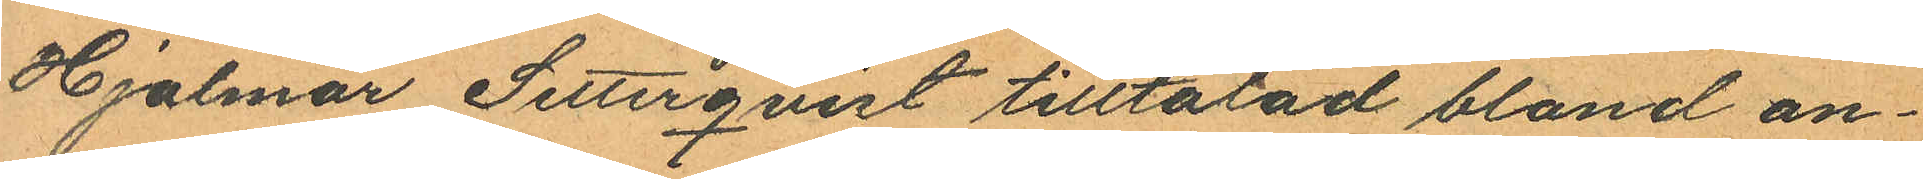Hjalmar Setterqvist tilltalad bland an¬
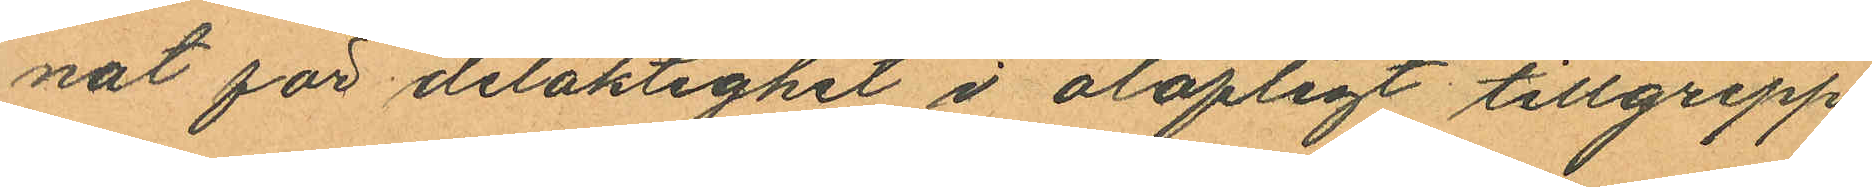nat för delaktighet i olofligt tillgrepp
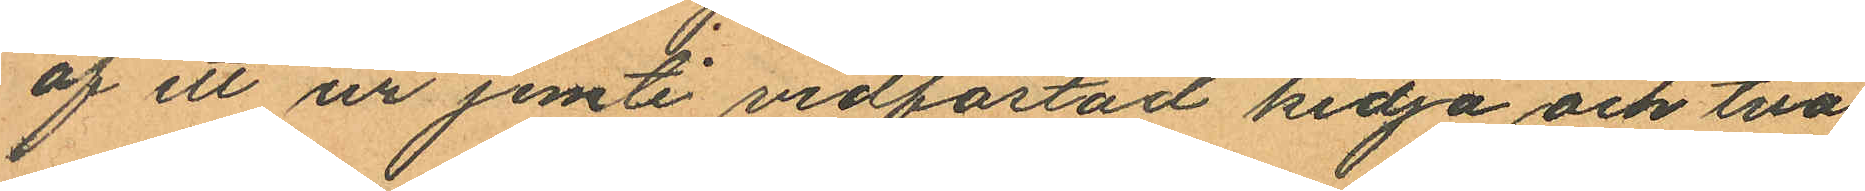af ett ur jemte vidfästad kedja och två
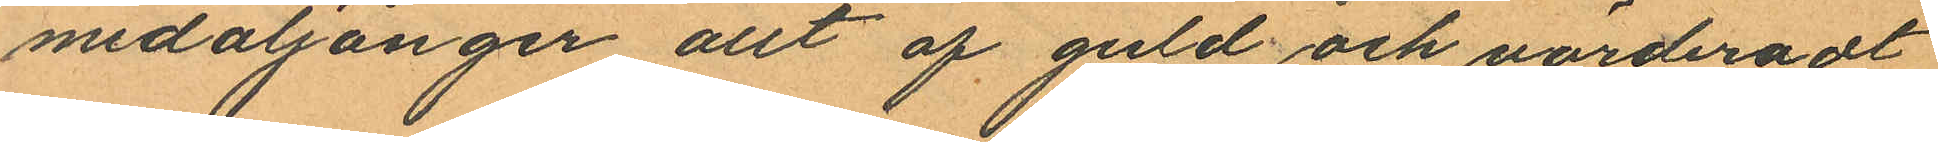medaljonger allt af guld och värderadt
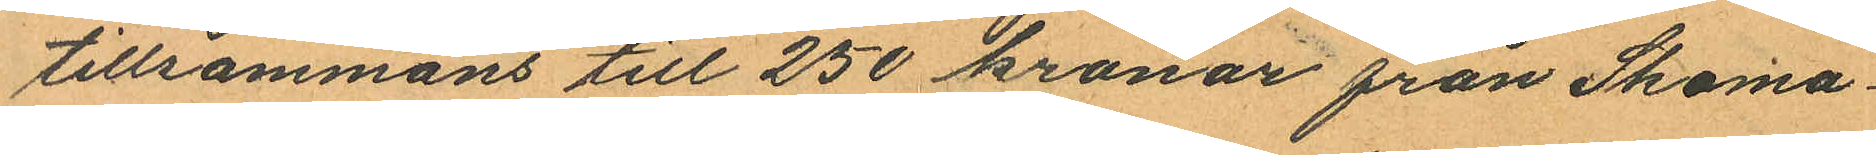tillsammans till 250 kronor från Skoma¬
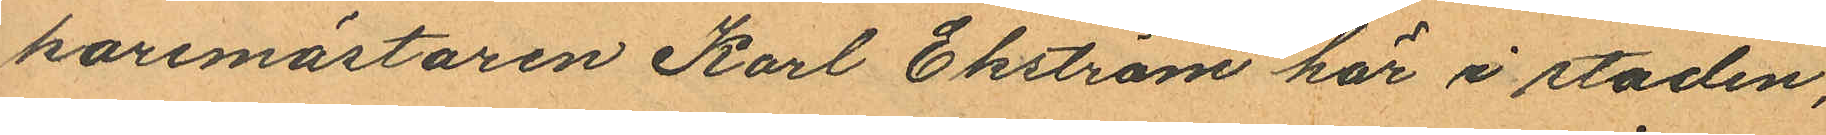karemästaren Karl Ekström här i staden,
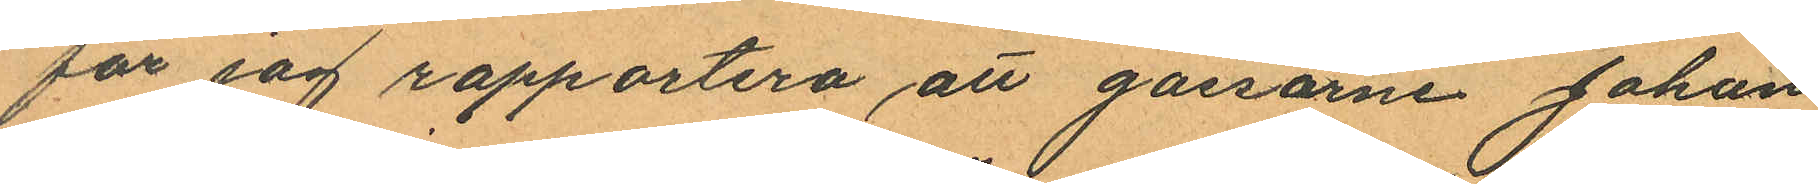får jag rapportera att gossarne Johan
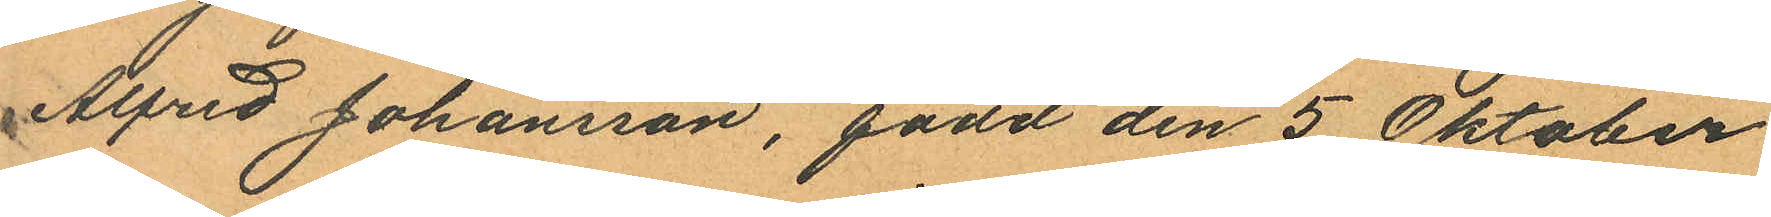Alfred Johansson, född den 5 Oktober
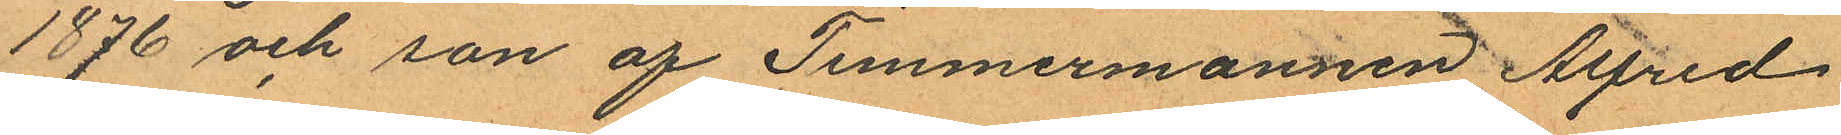1876 och son af Timmermannen Alfred
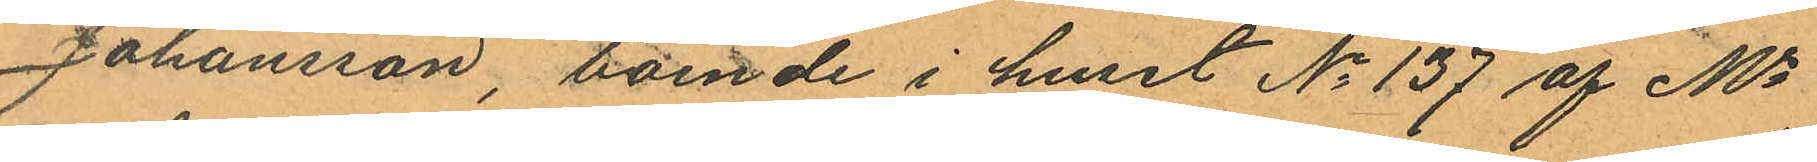Johansson, boende i huset No 137 af Ms
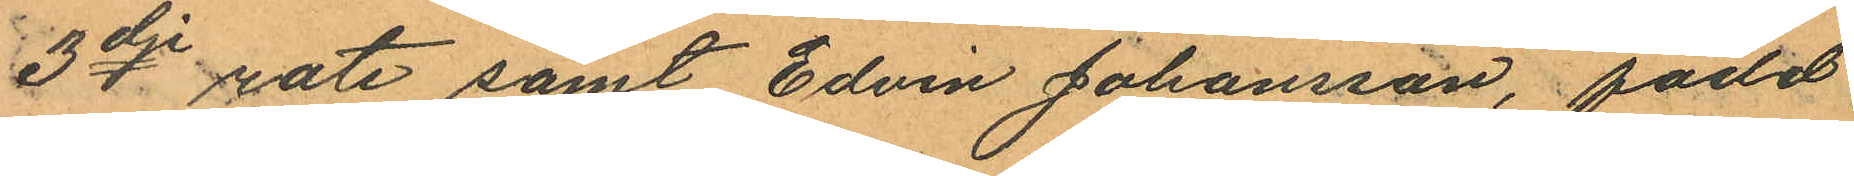3dje rote samt Edvin Johansson, född
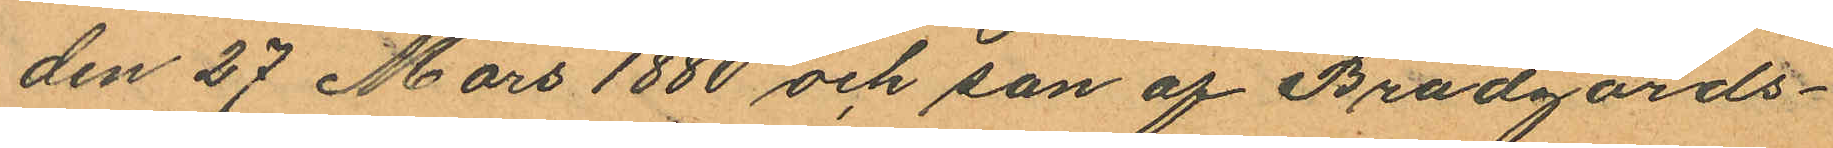den 27 Mars 1880 och son af Brädgårds¬
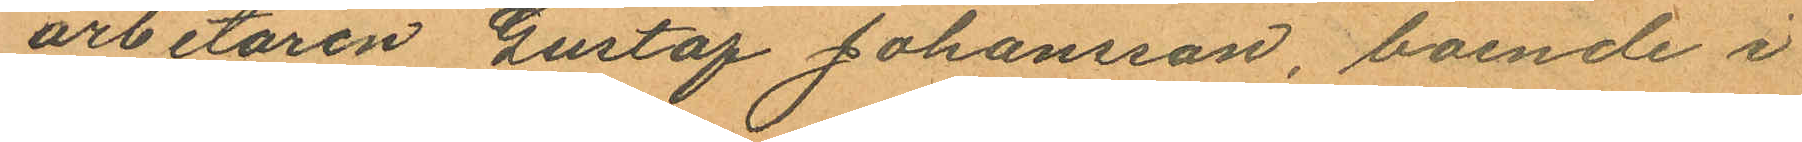arbetaren Gustaf Johansson, boende i
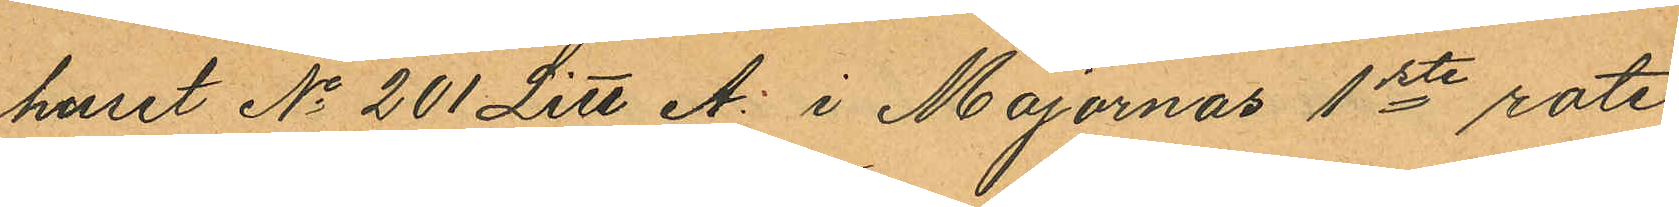huset No 201 Litt A. i Majornas 1ste rote
